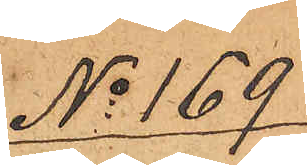No 169
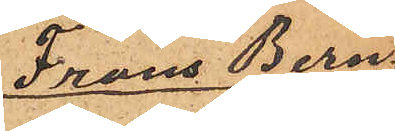Frans Bern¬
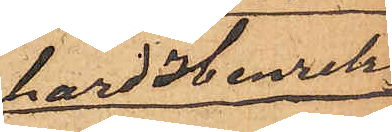hard Henriks¬
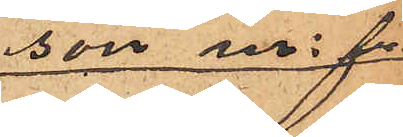son m. f.
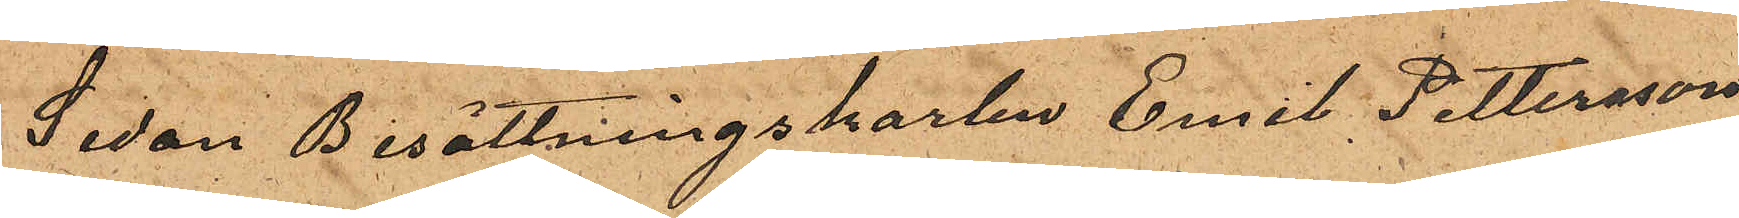Sedan Besättningskarlen Emil Pettersson
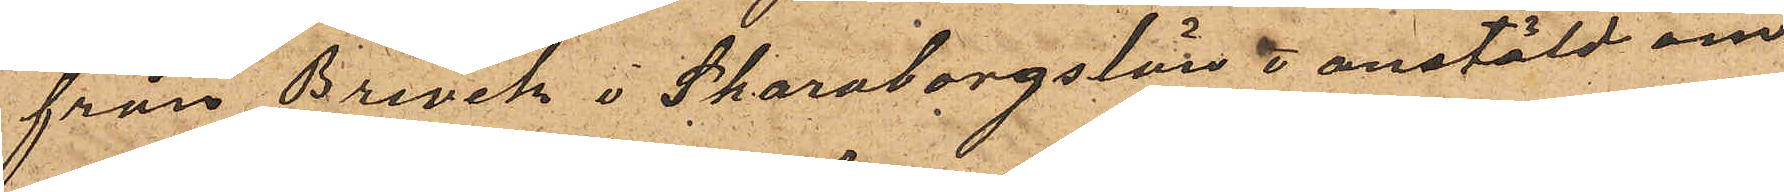från Brevik i Skaraborgs län o anstäld om¬
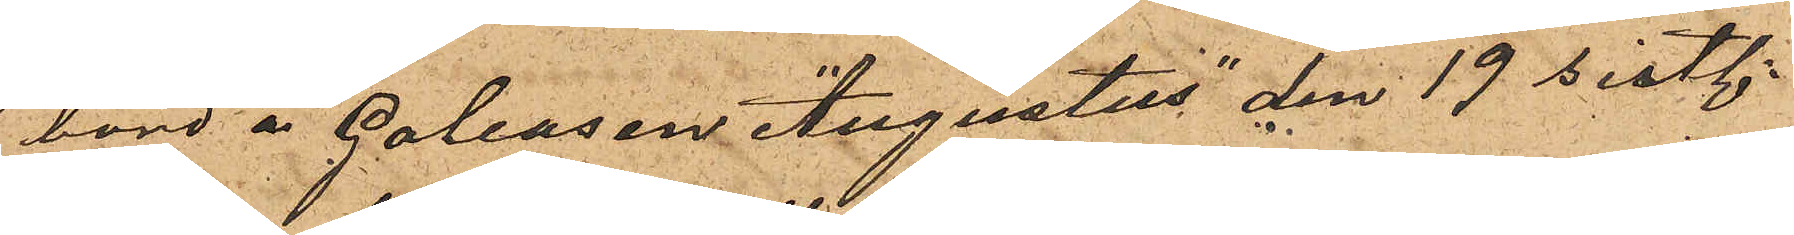bord å Galeasen "Augustus" den 19 sistl.
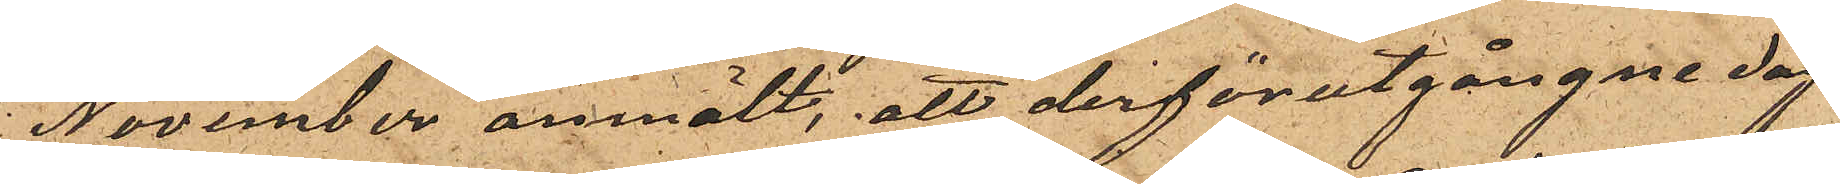November anmält, att derförutgångne dag
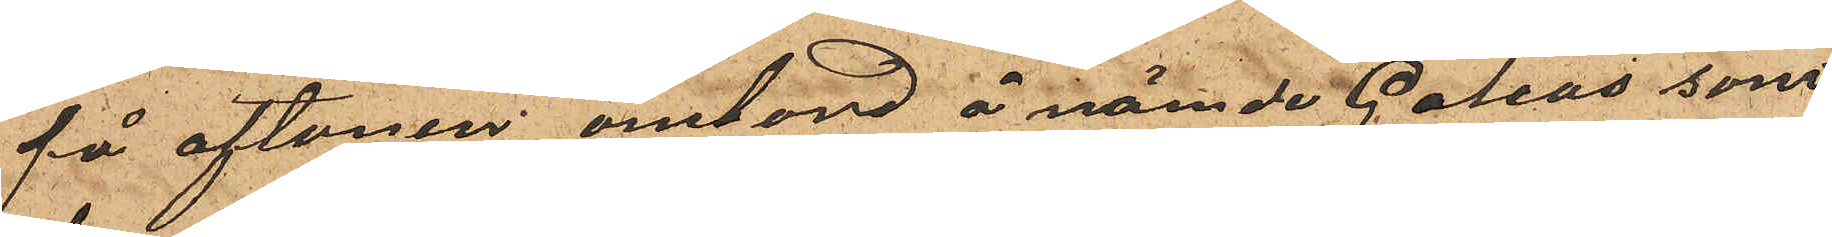på aftonen ombord å nämnde Galeas som
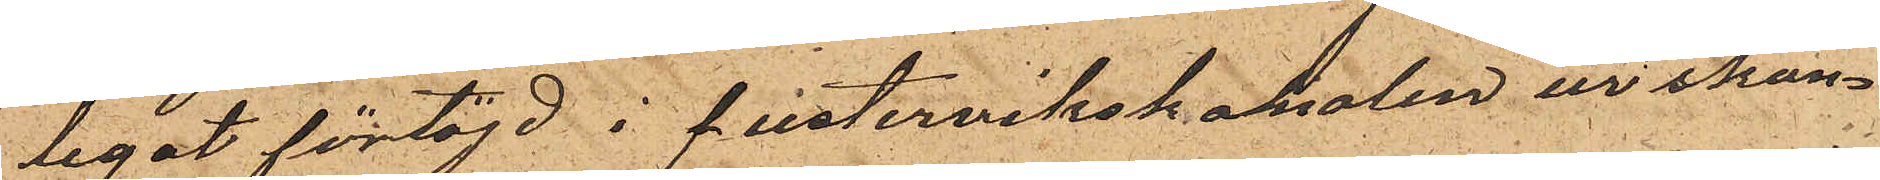legat förtöjd i Pustervikskanalen ur skan¬
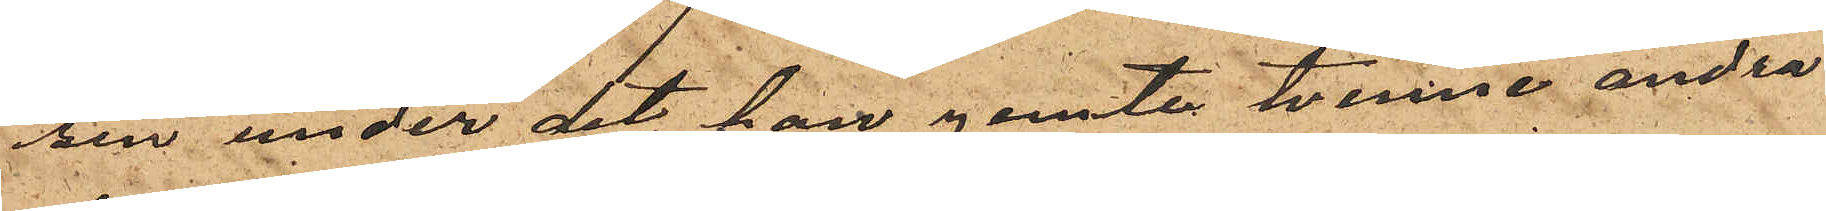sen under det han jemte tvenne andra
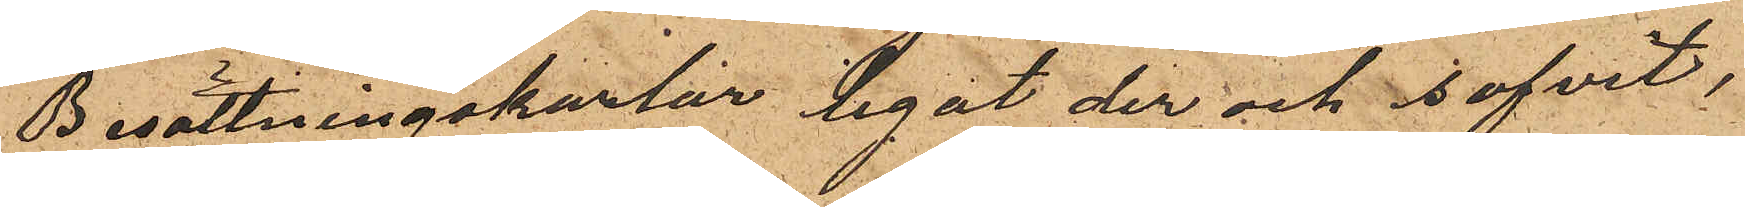Besättningskarlar legat der och sofvit,
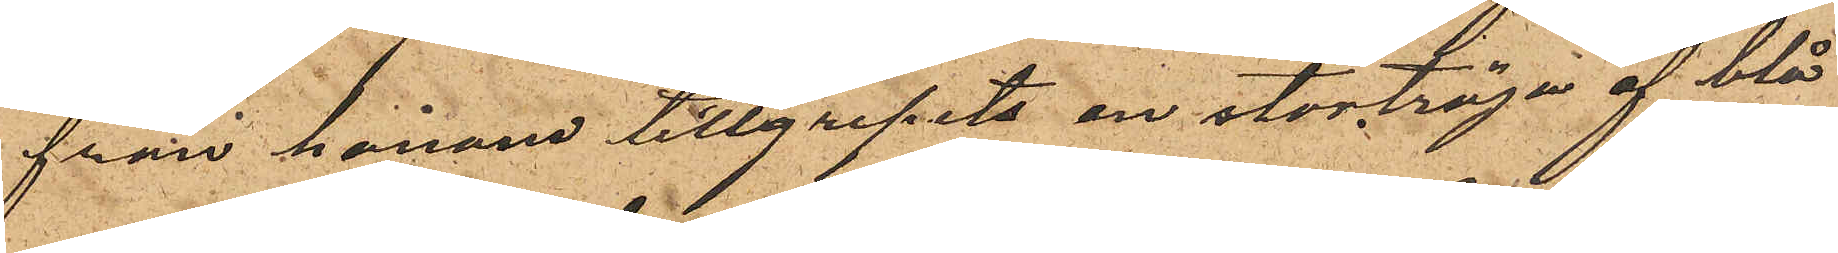från honom tillgripits en stortröja af blå
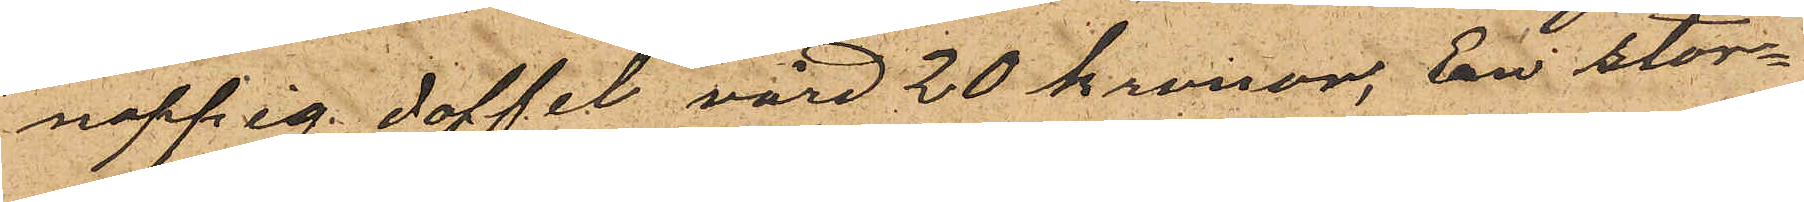noppig doffel värd 20 kronor, En stor¬
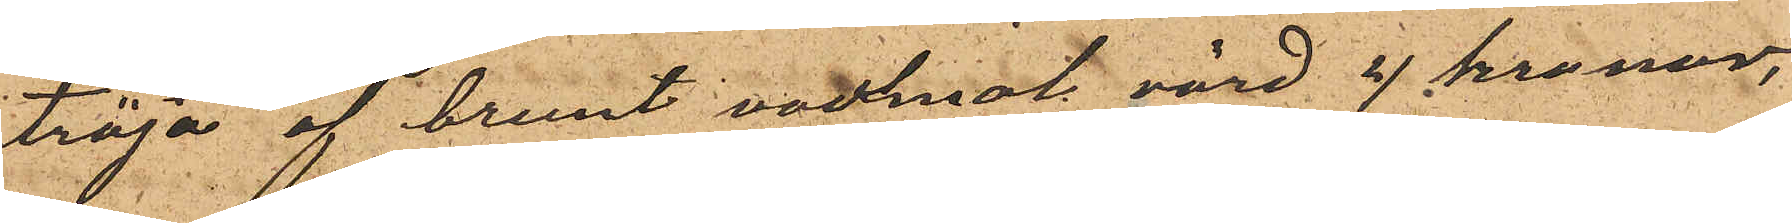tröja af brunt vadmal värd 4 kronor,
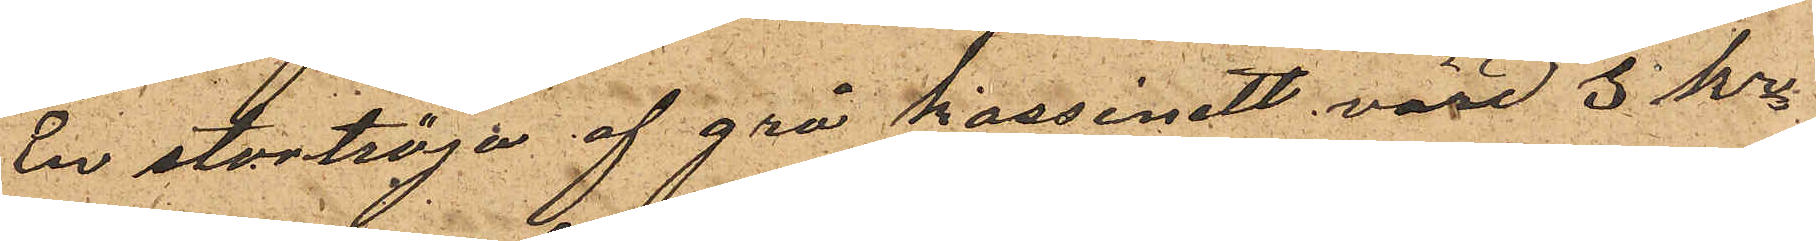En stortröja af grå kassinett, värd 3 kr
